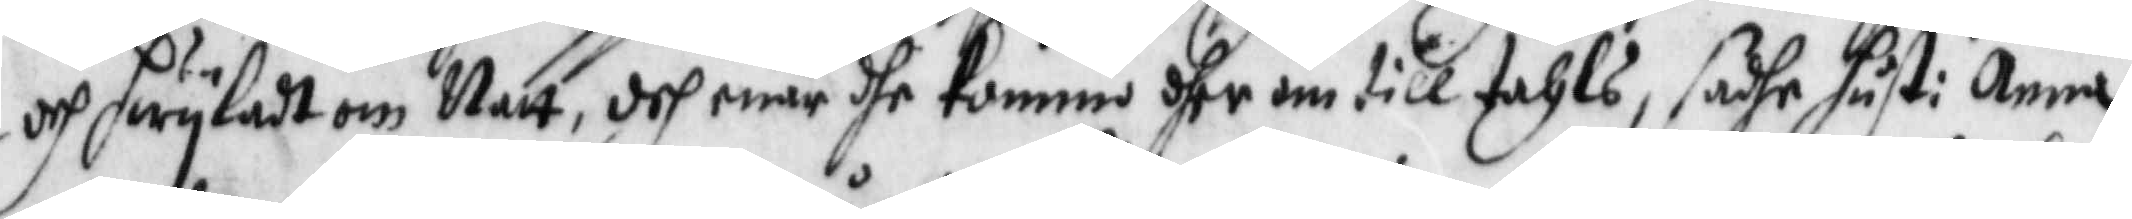och hwyladt om Natt, doh enär dhe kommo dher om till tahls, sadhe hust: Anna
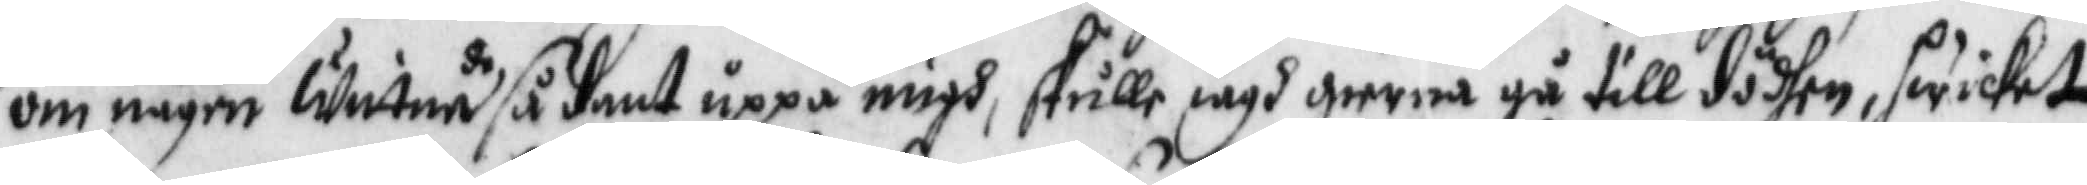om någre wittnade sådant uppå migh, skulle iagh gierna gå till dödhen, hwilket
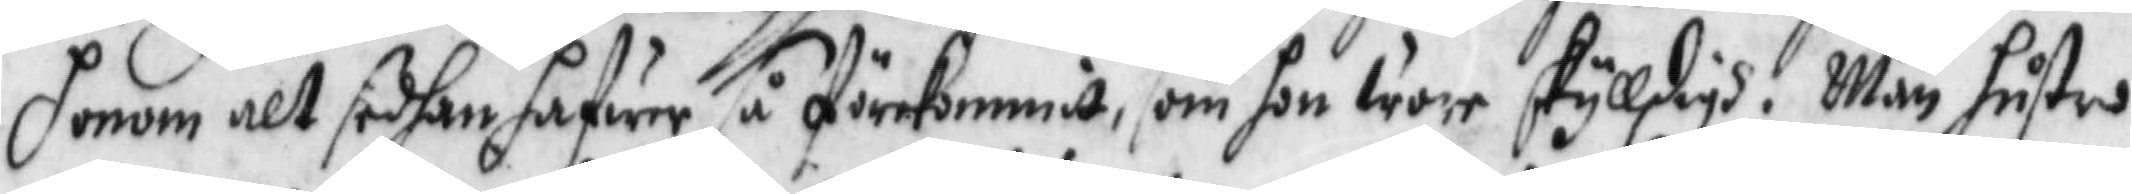honom alt sedhan hafwer så förekommit, som hon wore skylldigh. Män hustru
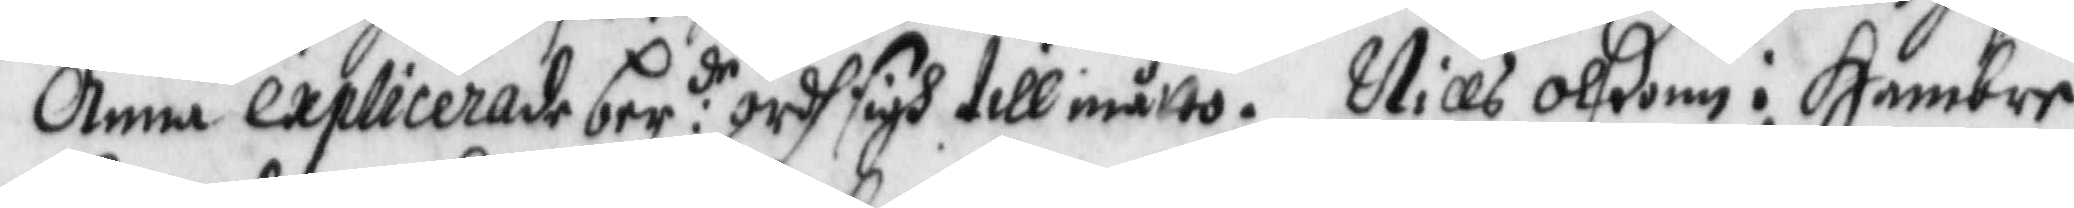Anna explicerade ber:de ordh sigh till måtto. Nills Olßon i Hambre
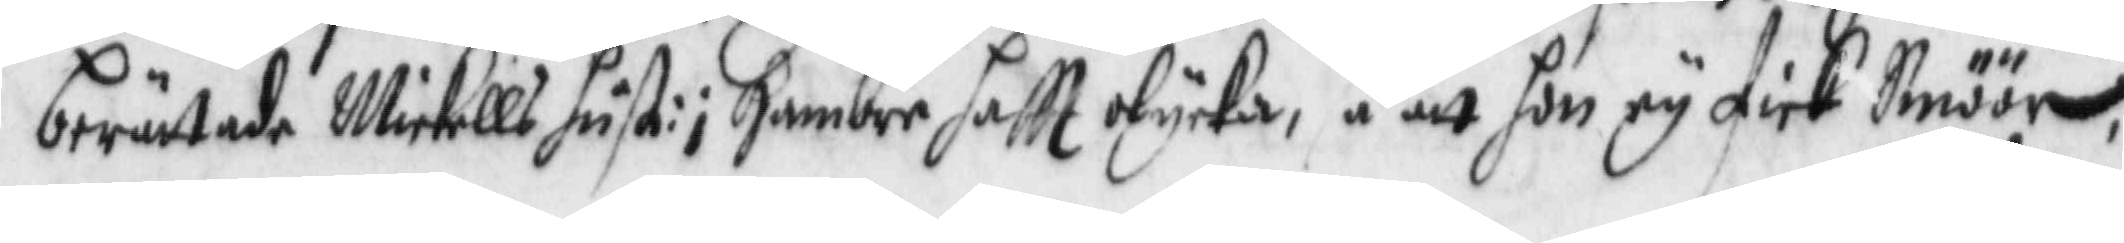berättade Mickells hust: i Hambre haftt olycka, så att hon ey fick Smöör,
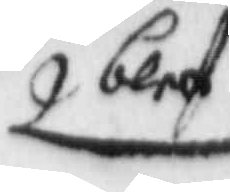blef
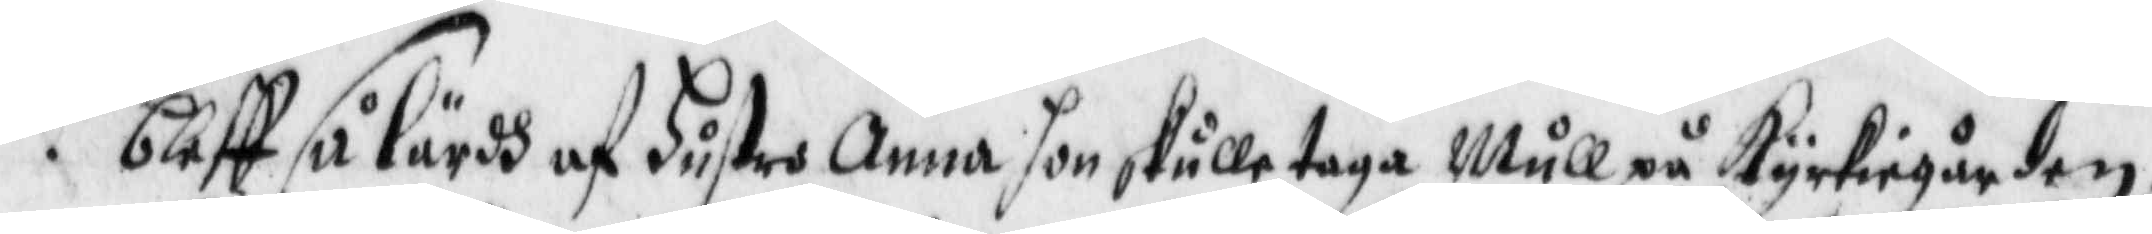bleff så lärdh af hustro Anna hon skulle taga Mull på kyrkiegården,
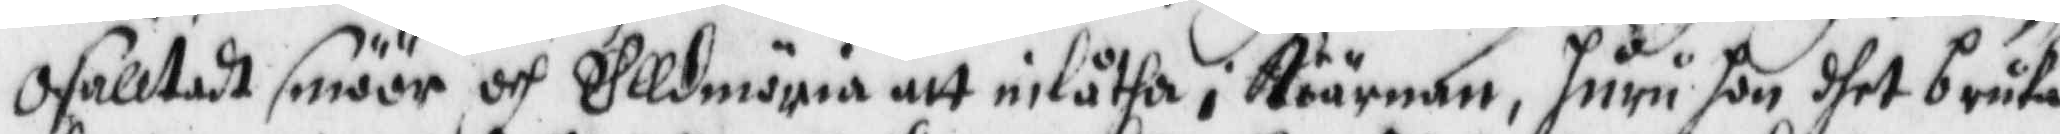osakktadt smöör och Elldmöria att inlåtha i kiärnan, huru hon dhet bruka
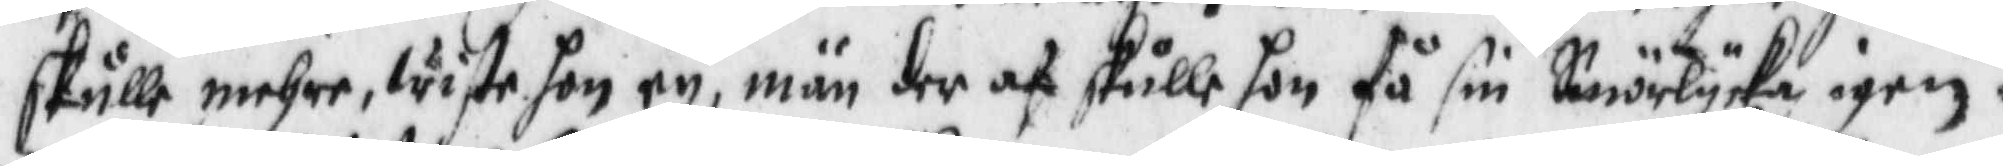skulle mehre, wist hon ey, män der af skulle hon få sin Smiörlycka igen.
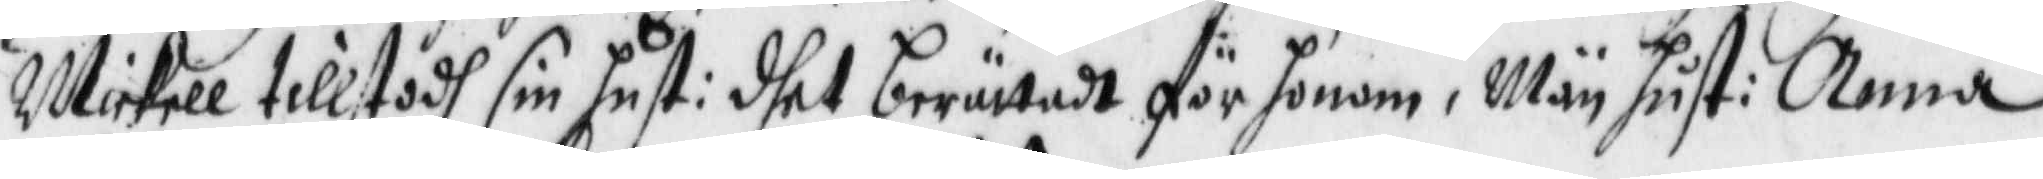Mickell tillstodh sin hust: dhet berättadt för honom, Män hust: Anna
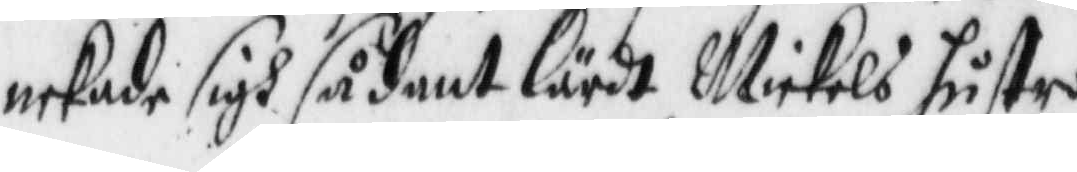nekade sigh sådant lärdt Mickels hustro.
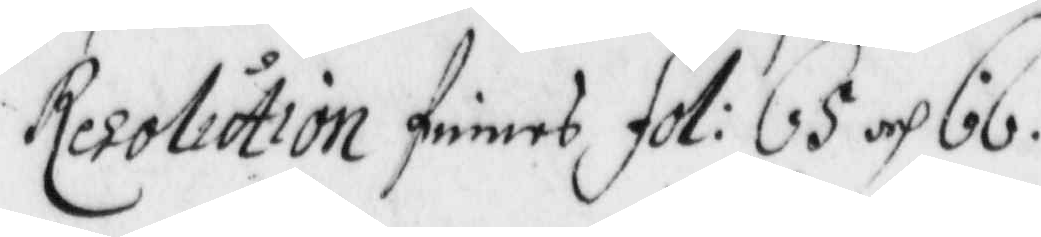Resolution finnes fol: 65 och 66.
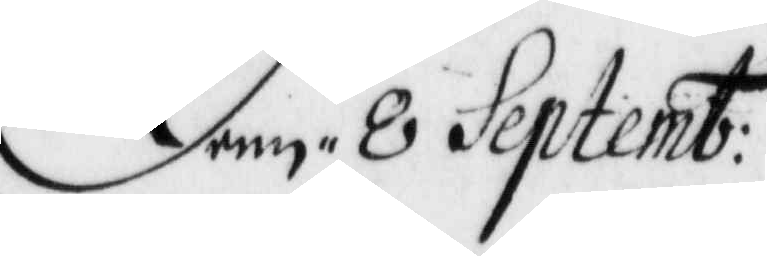Denn 8 Septemb:
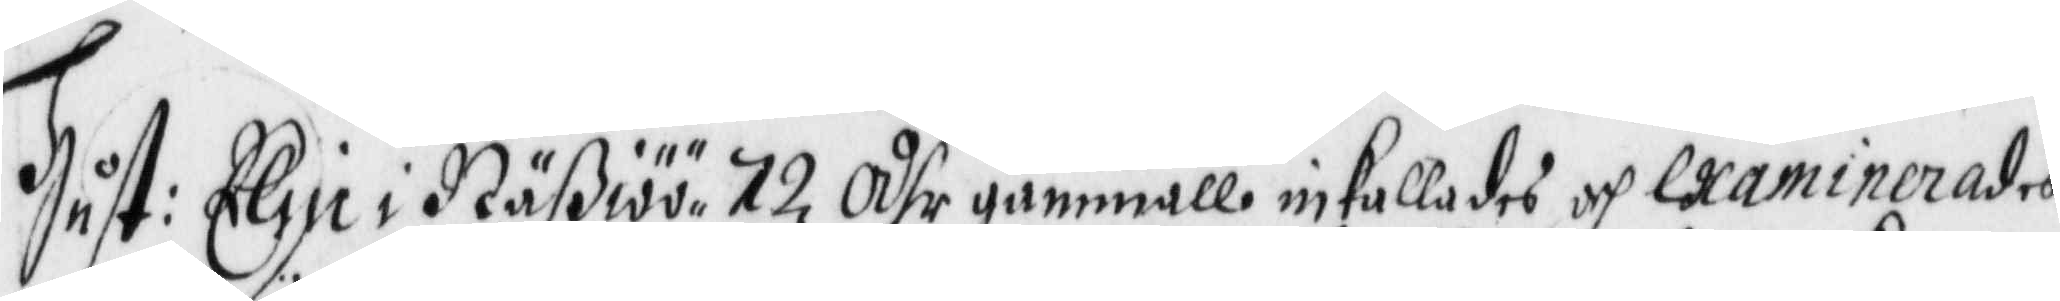Hust: Elin i Näßiöö 72 åhr gammall inkallades och examinerades
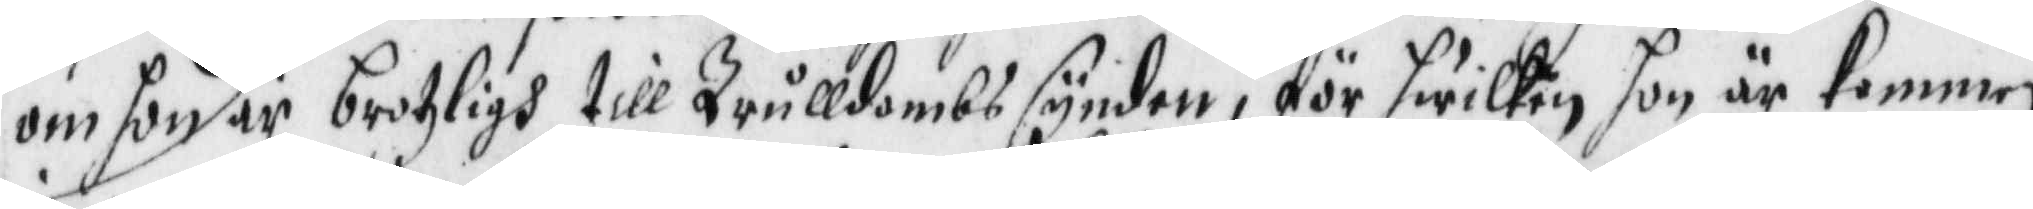om hon är brotzligh till Trulldombs synden, för hwilken hon är kommen
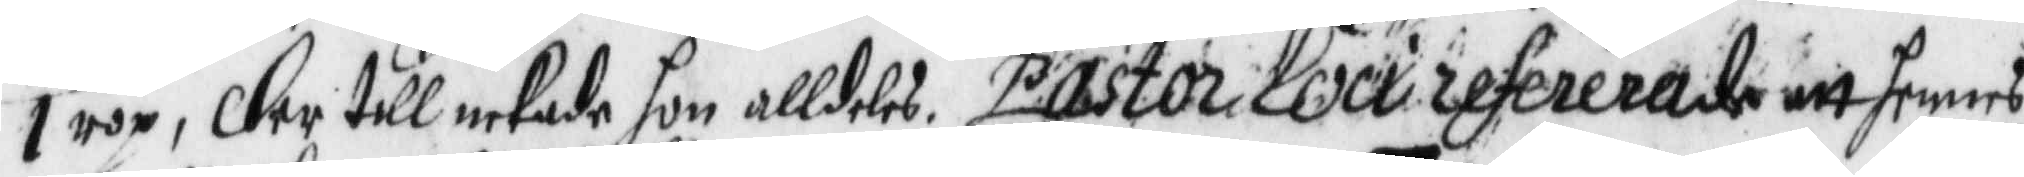i rop, der till nekade hon alldeles Pastor Loci refererade att hennes
